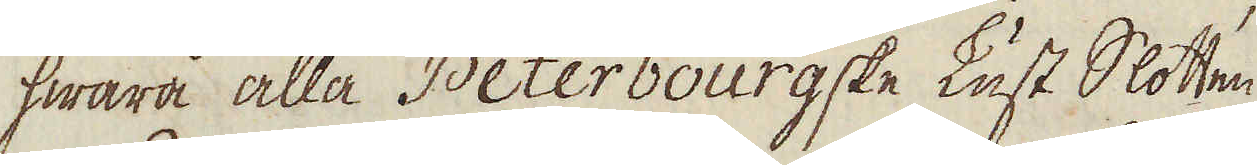hwarå alla Peterbourgske Lust Slotten
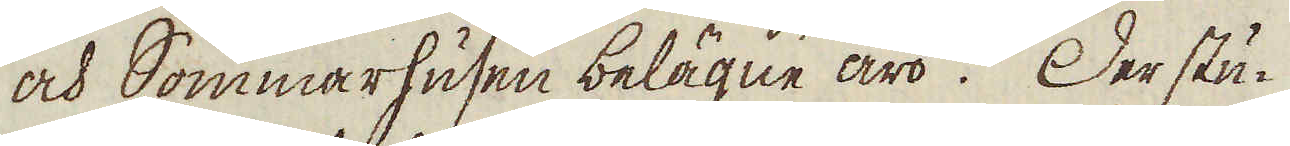och Sommarhusen belägne äro. Der stu-
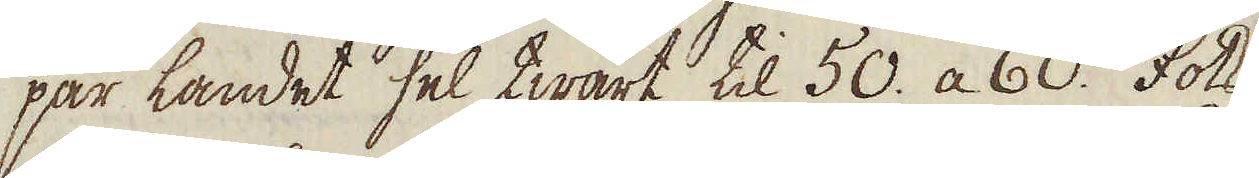par landet hel twärt til 50. a 60. fots
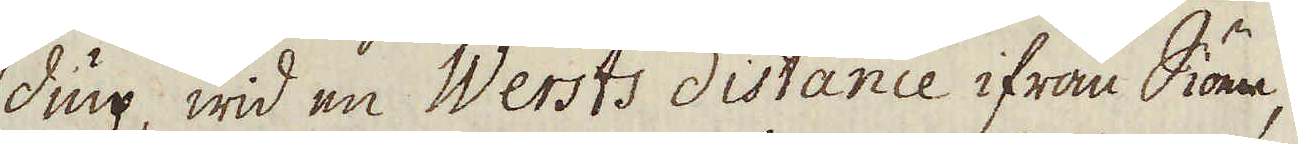diup, wid en Wersts distance ifrån Siön,
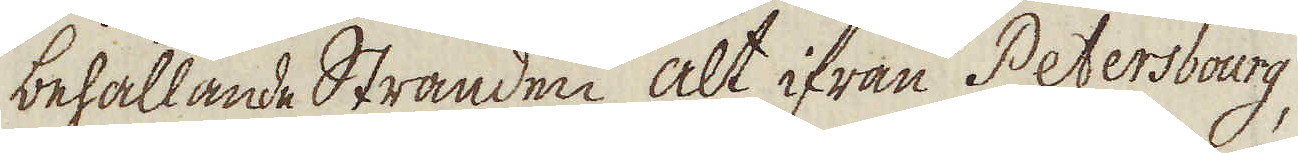behållande Stranden alt ifrån Petersbourg,
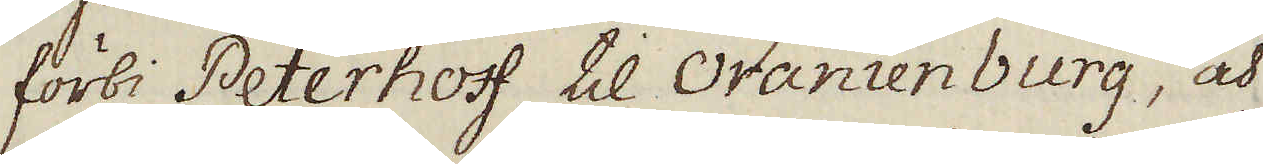förbi Peterhoff til Oranienburg, och
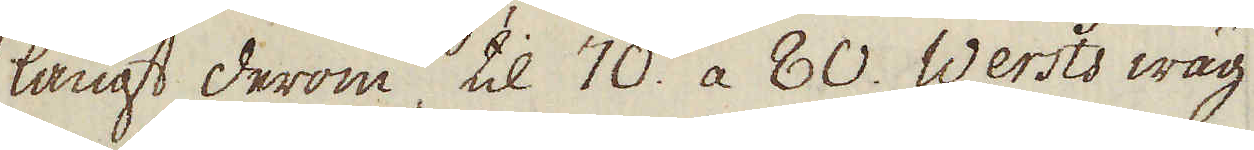långt derom til 70. a 80. Wersts wäg
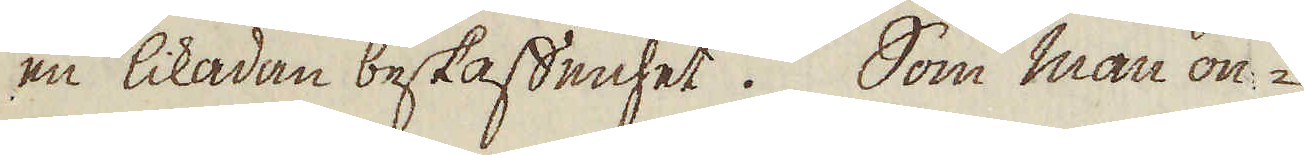en likadan beskaffenhet. Som man on-
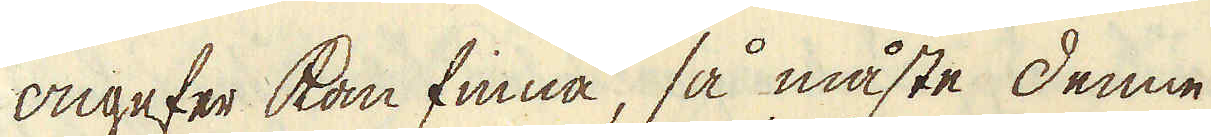ongefer kan finna, så måste denne
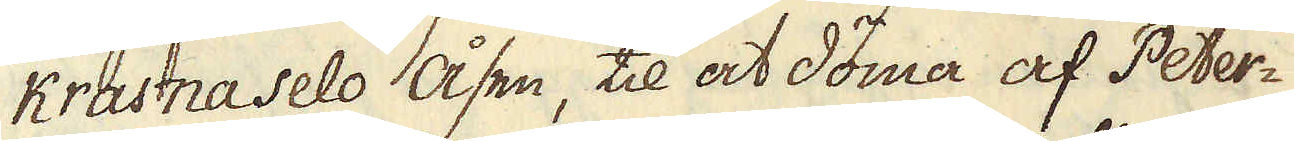Krasna Selo åsen, til at döma af Peter-
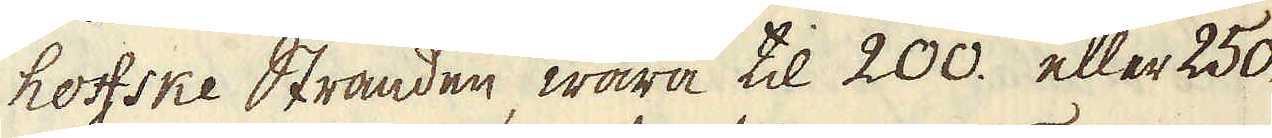hoffske Stranden, wara til 200. eller 250.
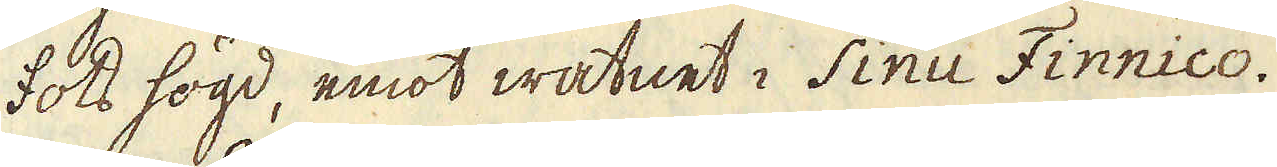fots högd, emot watnet i Sinu Finnico.
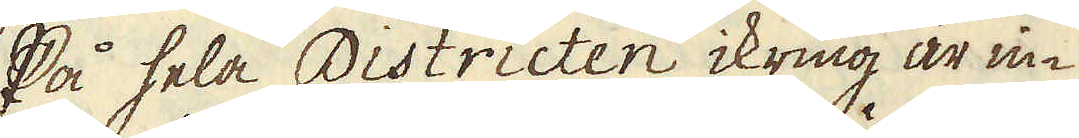På hela Districten ikring är in-
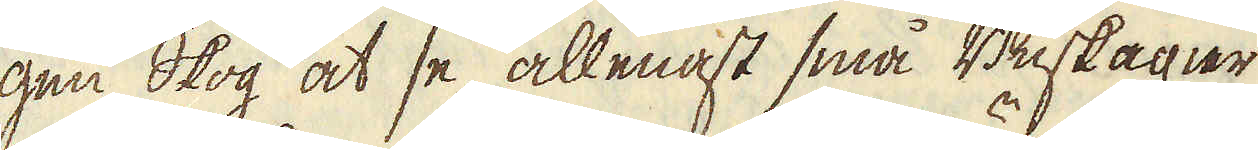gen skog at se, allenast små Buskagier
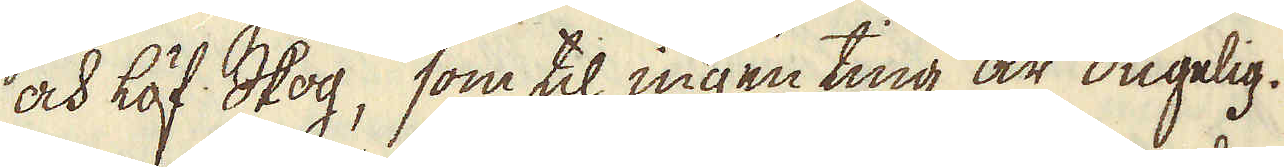och löf skog, som til ingen ting är dugelig.
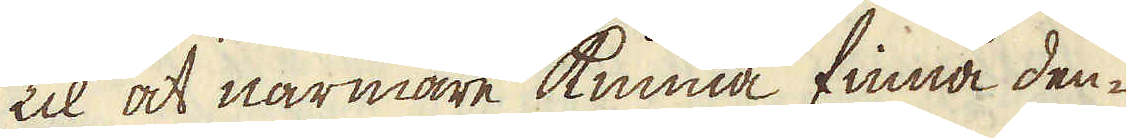Til at närmare kunna finna den-
